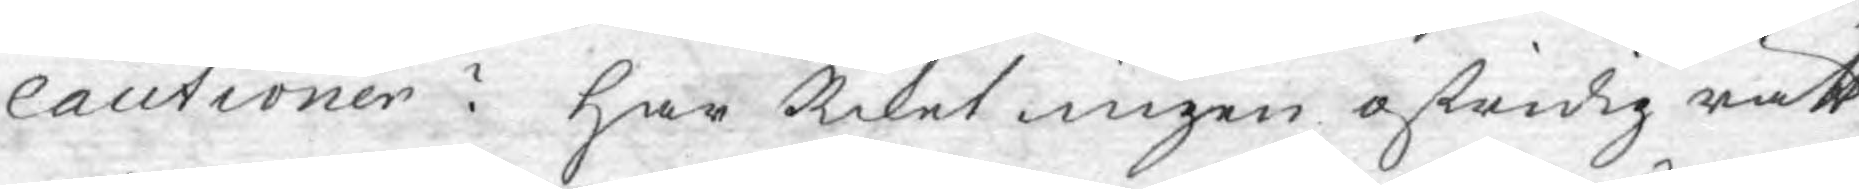cautioner? Har Riket ingen ostridig rätt
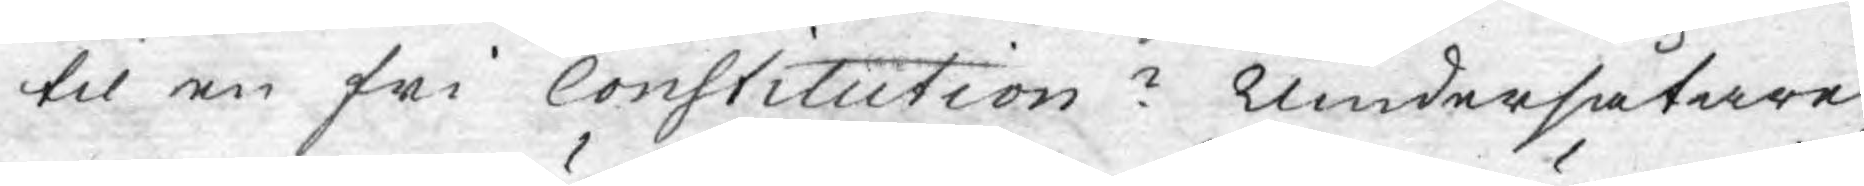til en fri Constitution? Undersåtare¬
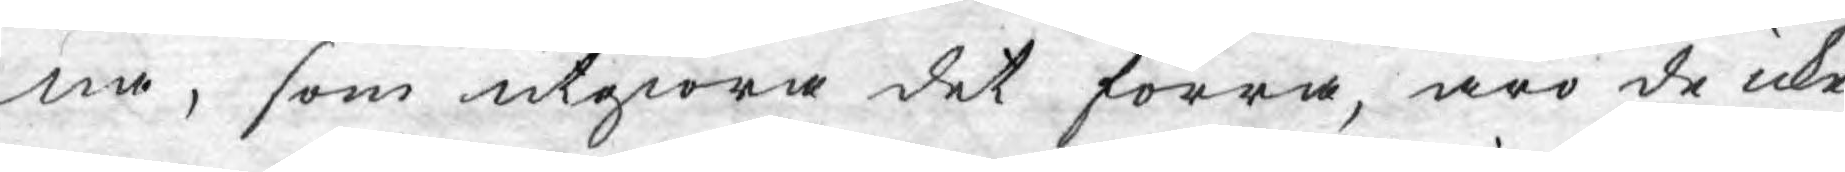na, som utgiöra det förra, äro de icke
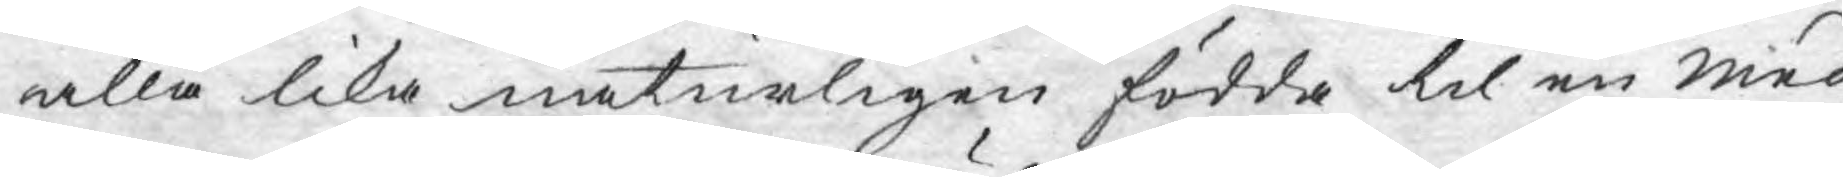alla lika naturligen födda til en med¬
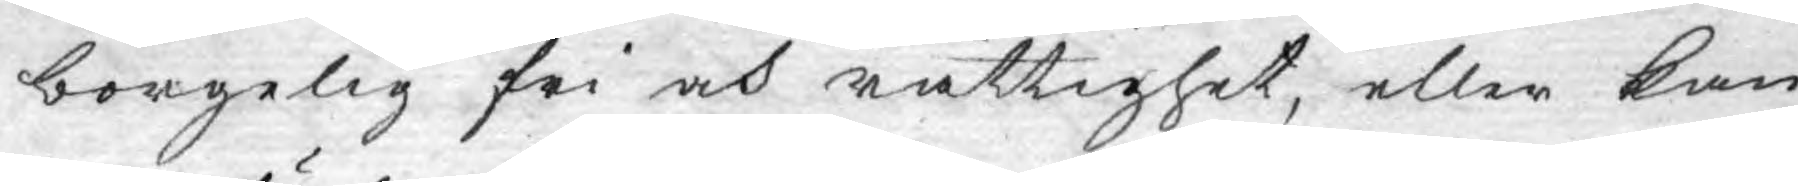borgelig fri och rättighet, eller kan
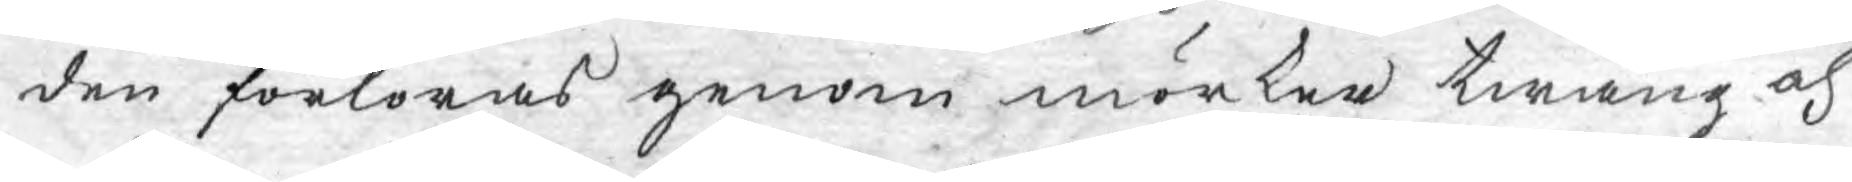den förloras genom mörker twång och
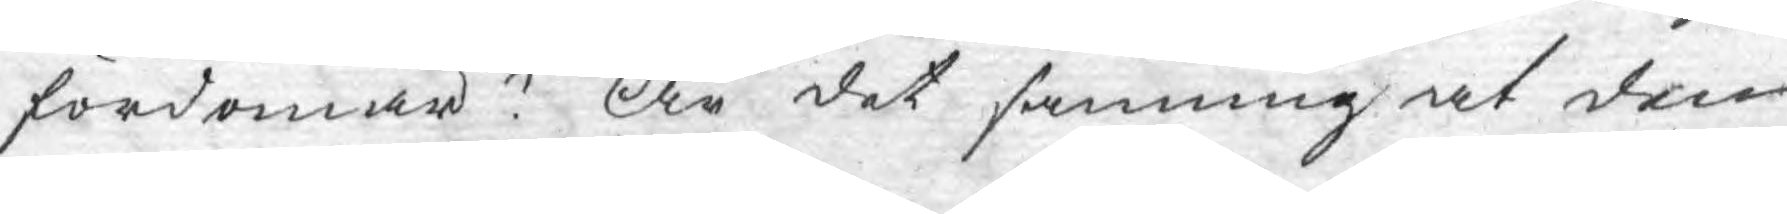fördomar? Är det sanning at dem
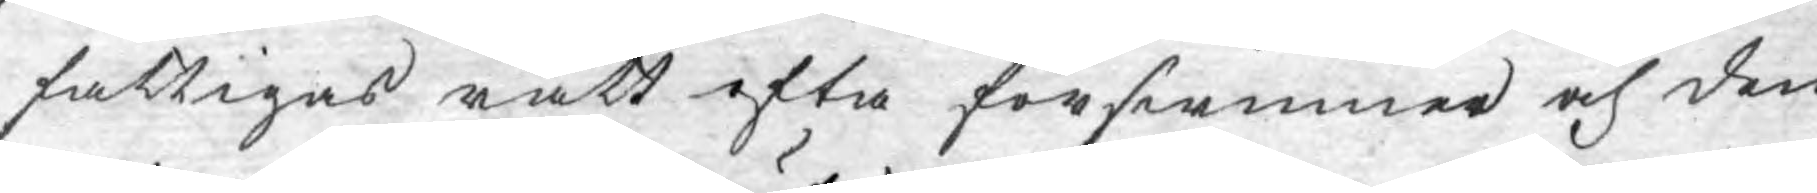fattigas rätt ofta förswinner och den
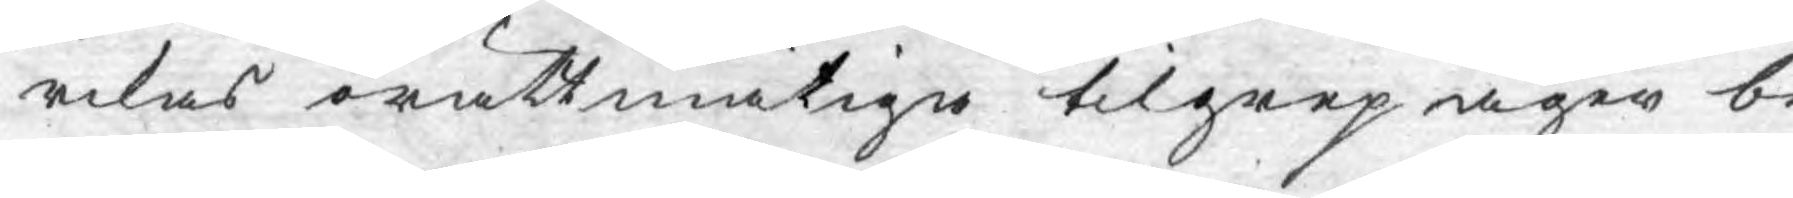rikas orättmätige tilgrep äger be¬
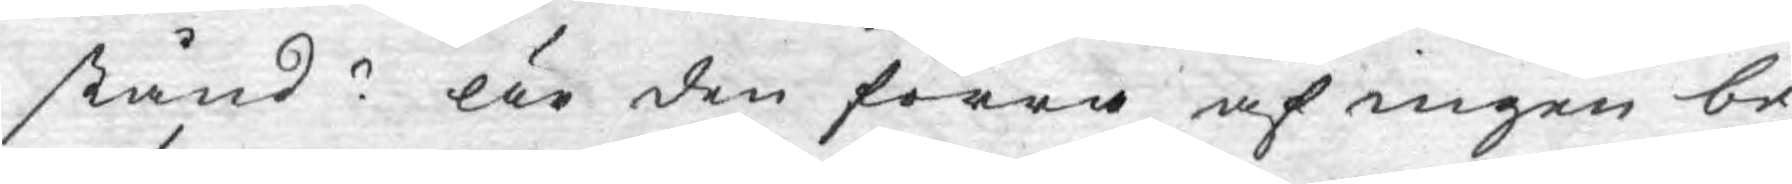stånd? Är den förra af ingen be¬
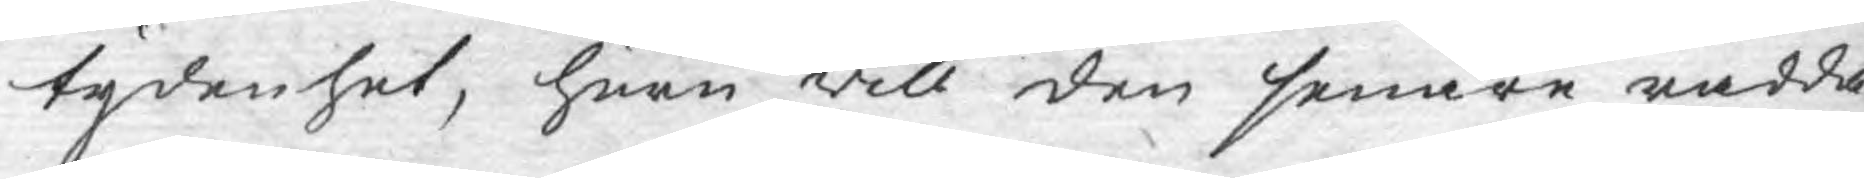tydenhet, huru will den senare rädda
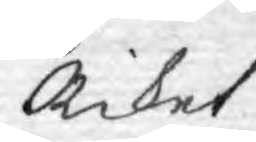Riket?
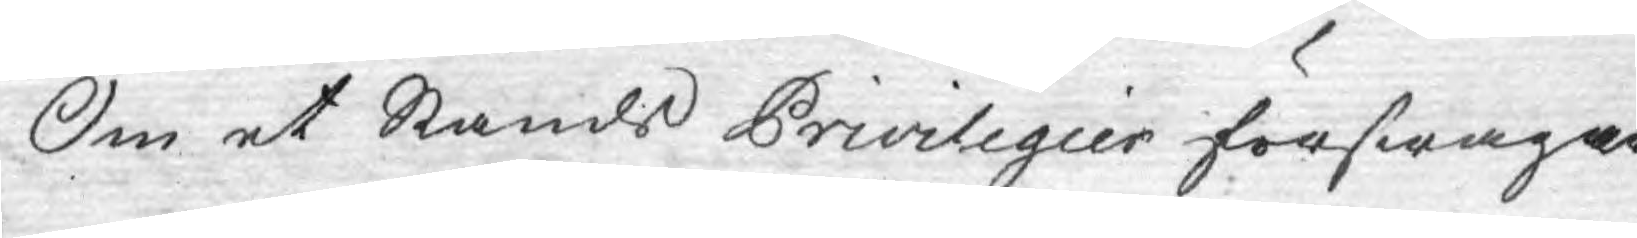Om et Stånds Privilegier förswagar
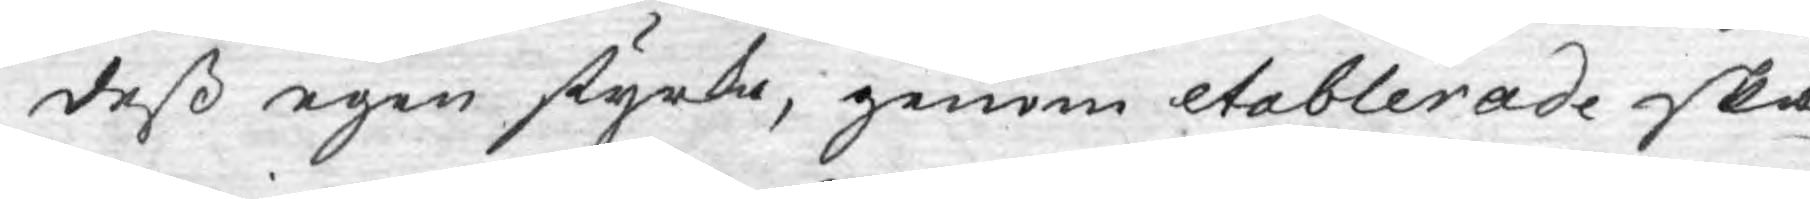deß egen styrka, genom etablerade ska¬
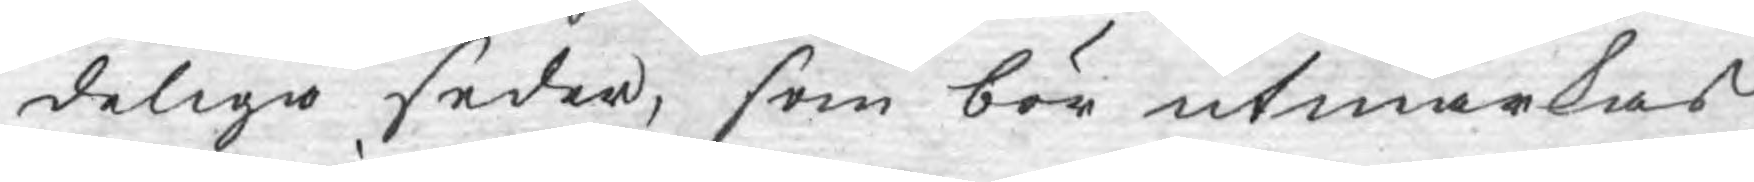deliga seder, som bör utmärkas
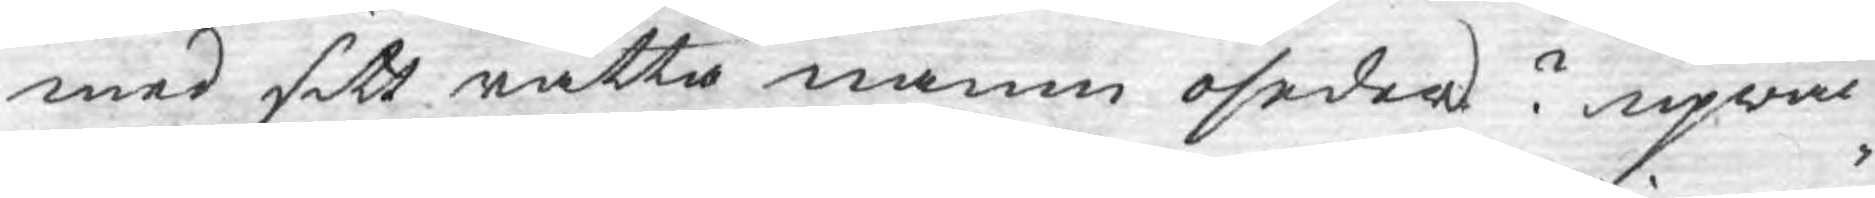med sitt rätta namn oseder? upwäc¬
